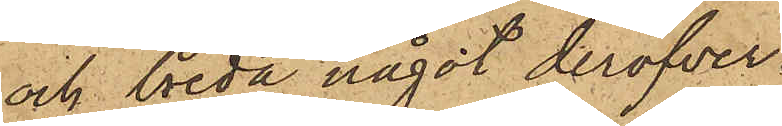och breda något deröfver.
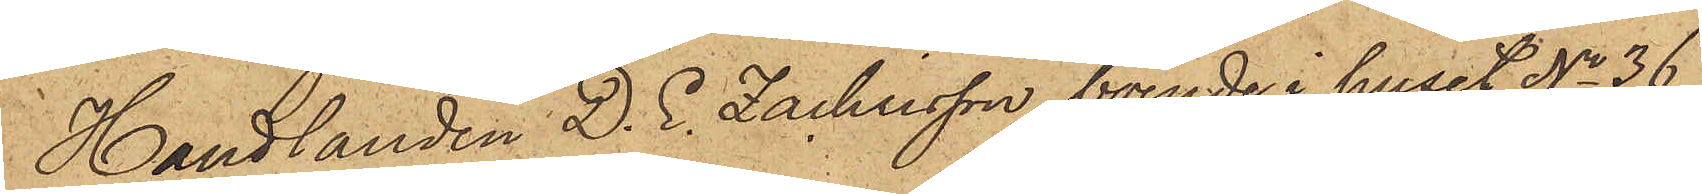Handlanden D. E. Zachrisson, boende i huset No 36
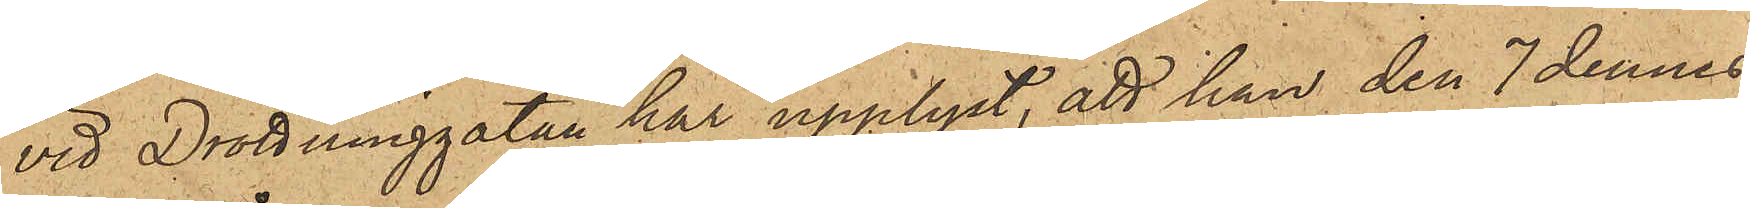vid Drottninggatan har upplyst, att han den 7 dennes
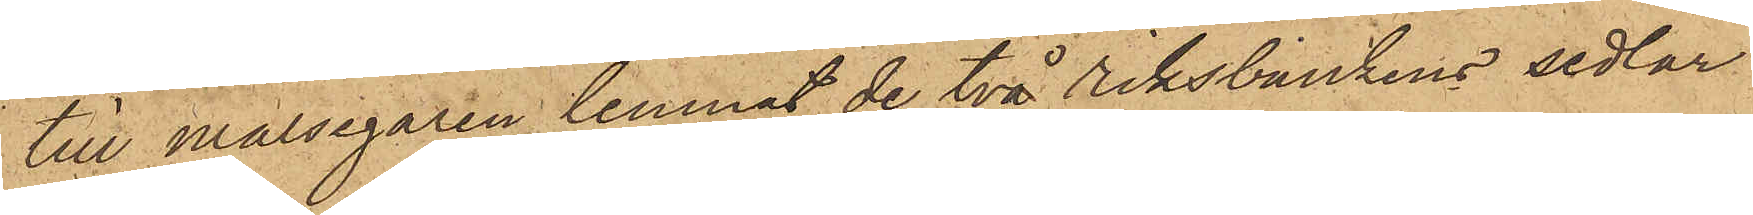till målsegaren lemnat de två riksbankens sedlar
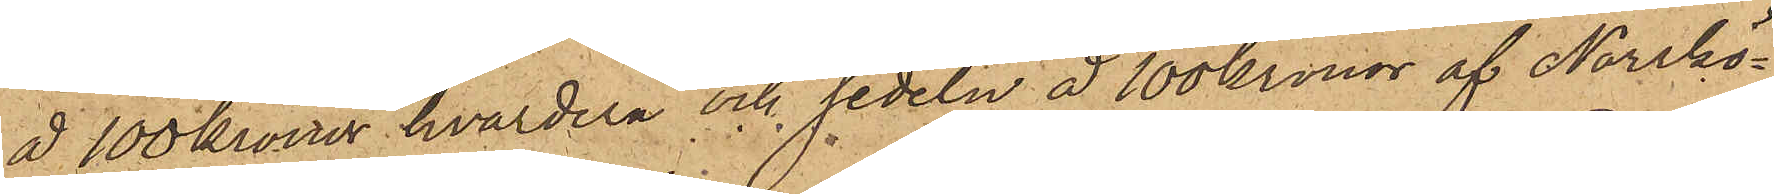å 100 kronor hvardera och sedeln å 100 kronor af Norrkö¬
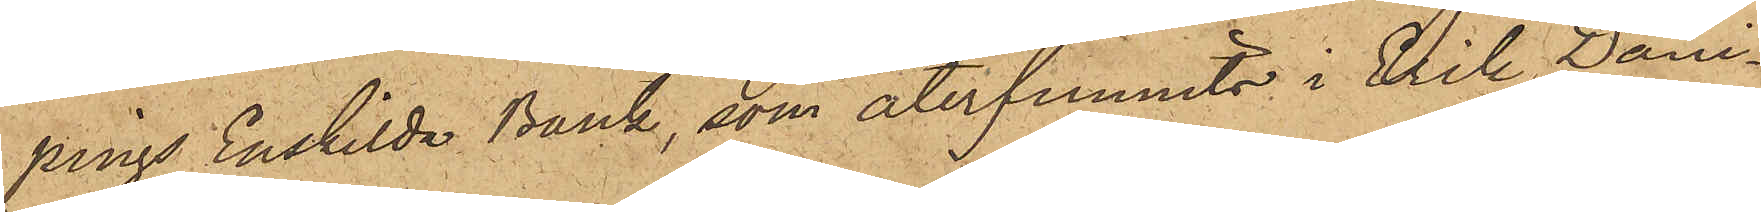pings Enskilda Bank, som återfunnits i Erik Dani¬
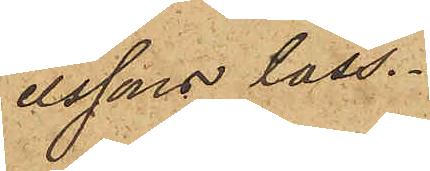elssons lass.
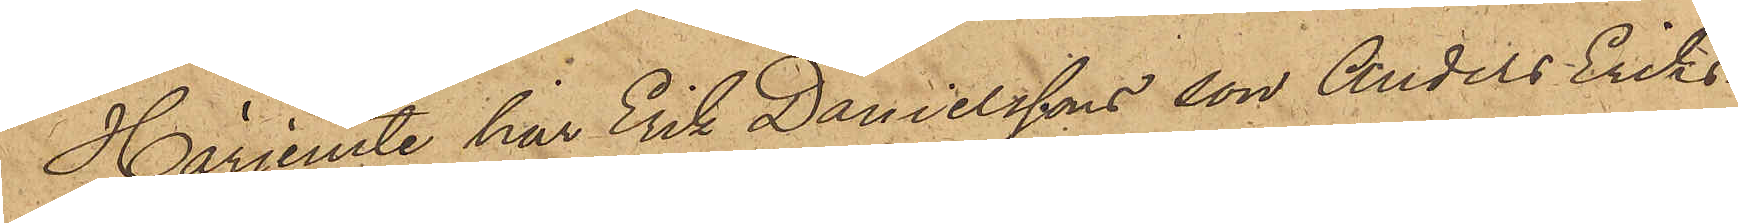Härjemte har Erik Danielssons son Anders Eriks¬
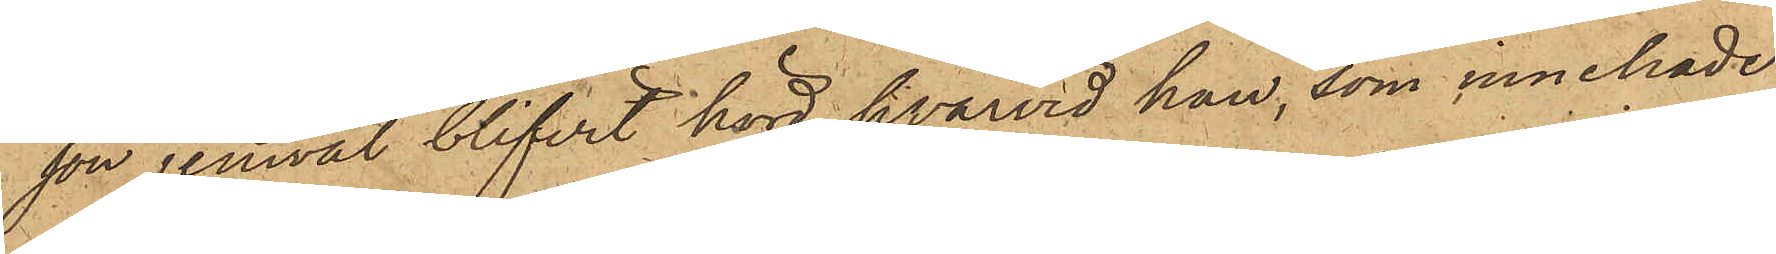son jemväl blifvit hörd, hvarvid han, som innehade
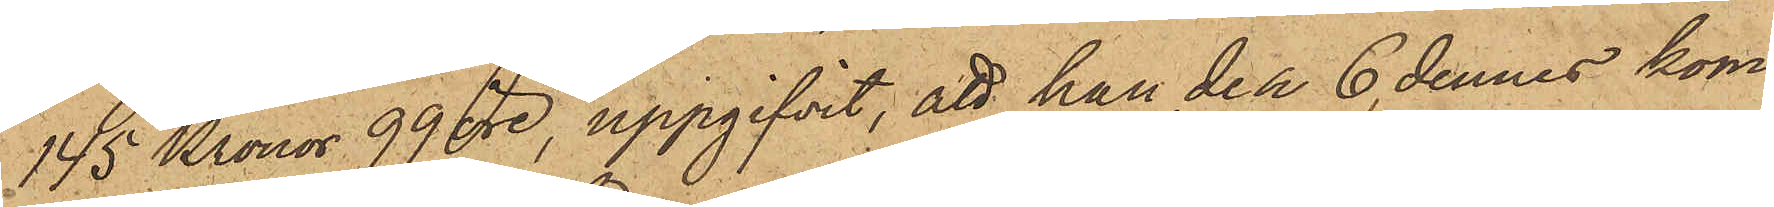145 Kronor 99 öre, uppgifvit, att han den 6 dennes kom¬
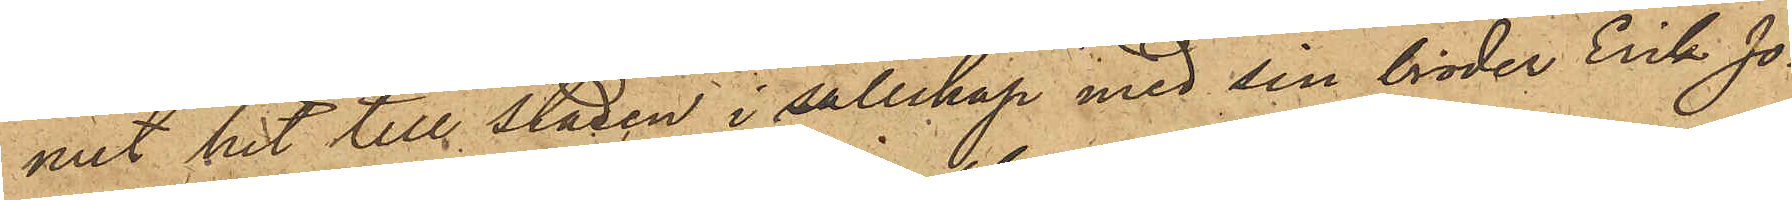mit hit till Staden i sällskap med sin broder Erik Jo¬
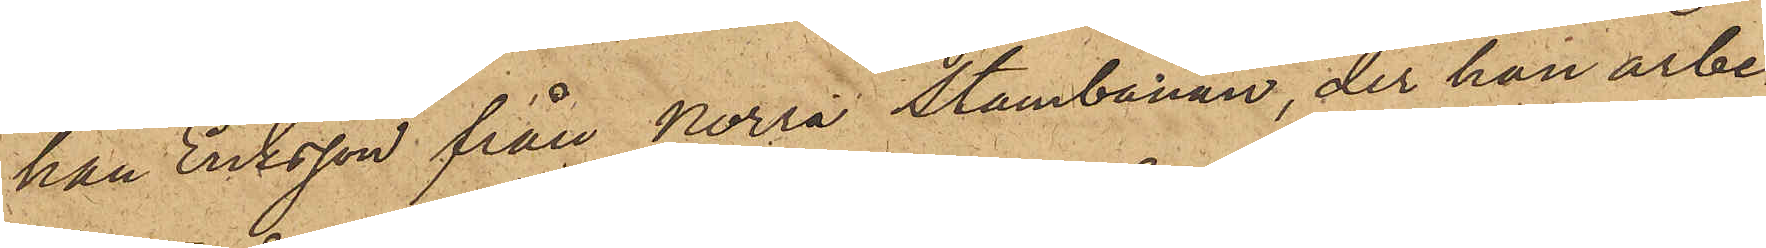han Eriksson från Norra Stambanan, der han arbe¬
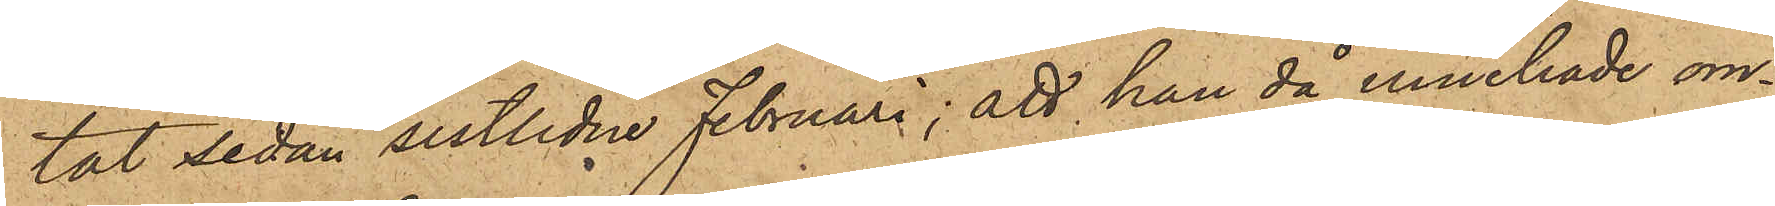tat sedan sistlidne Februari; att han då innehade om¬
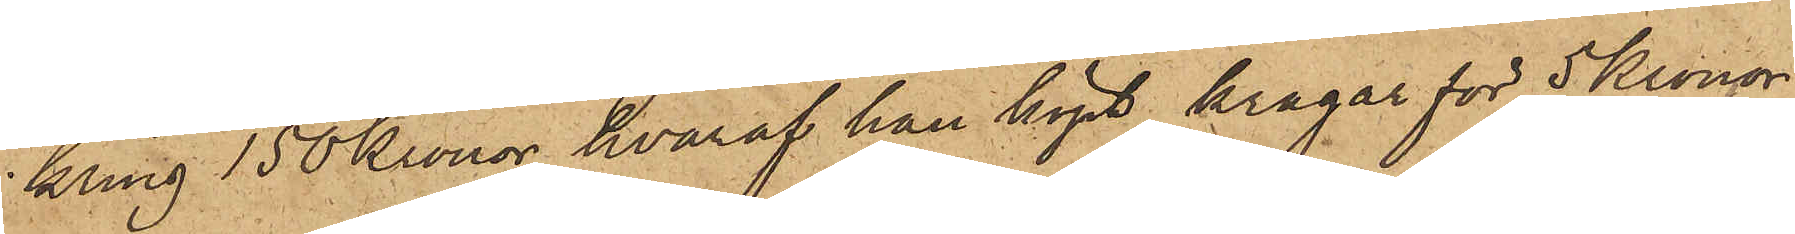kring 150 Kronor, hvaraf han köpt kragar för 5 Kronor,
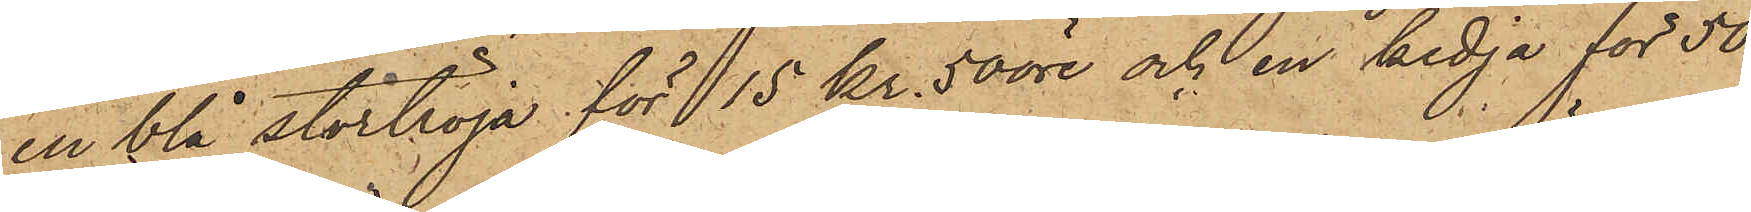en blå stortröja för 15 kr. 50 öre och en kedja för 50
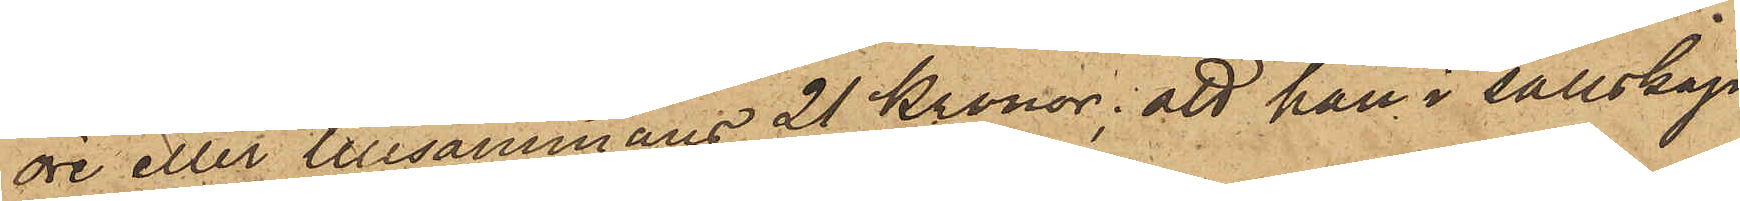öre eller tillsammans 21 Kronor; att han i sällskap
